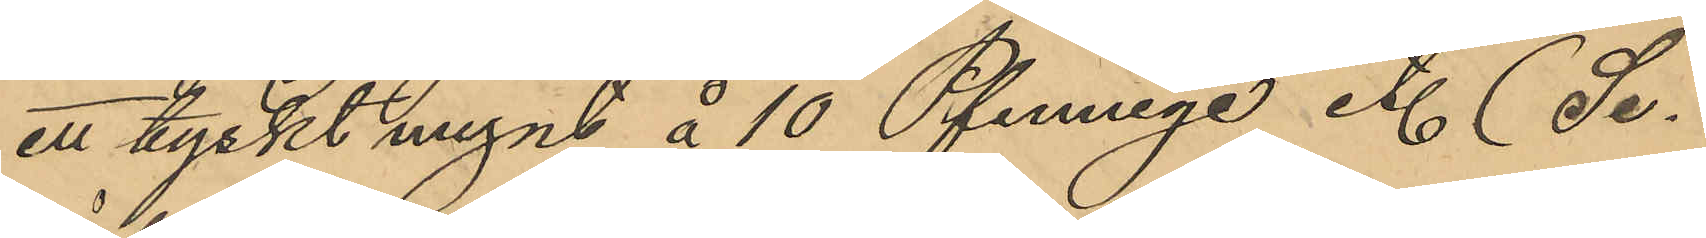ett tyskt mynt å 10 Pfennige et. (Se
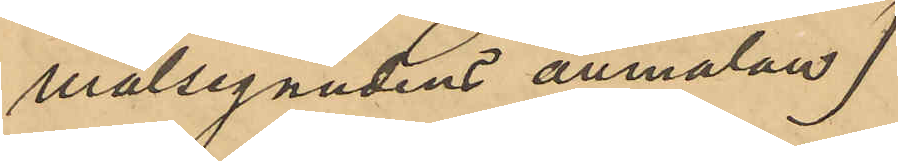målsegandens anmälan)
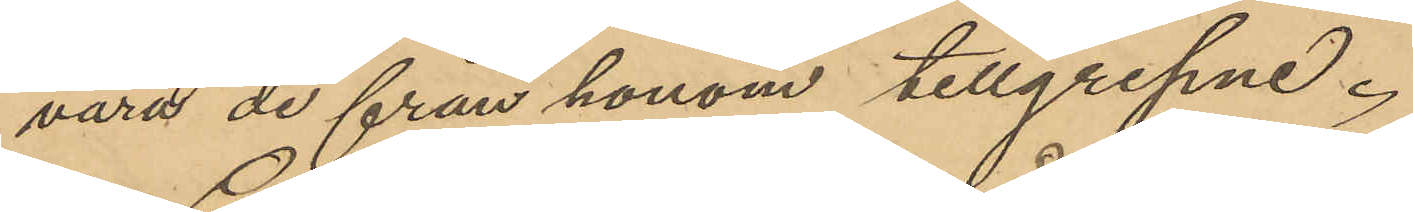vara de från honom tillgripne.
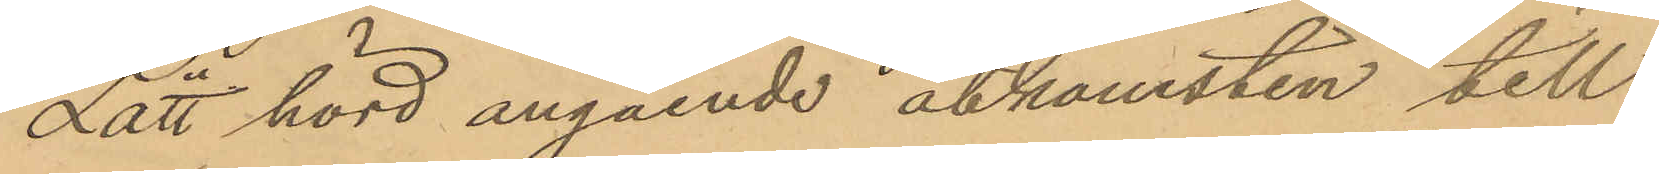Lätt hörd angående åtkomsten till
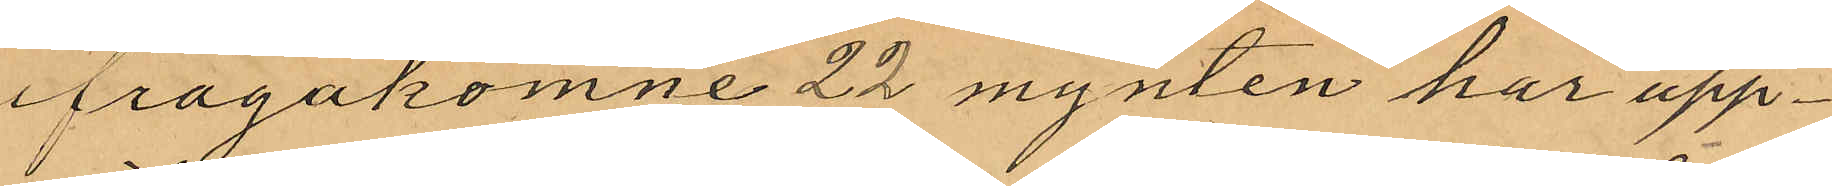ifrågakomne 22 mynten har upp¬
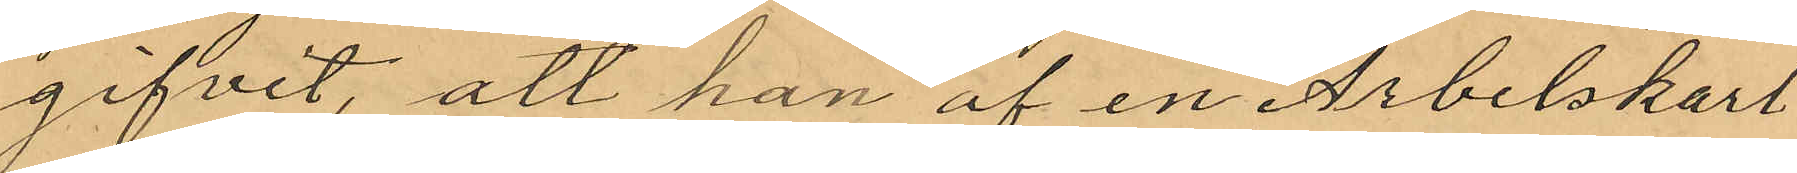gifvit, att han af en Arbetskarl
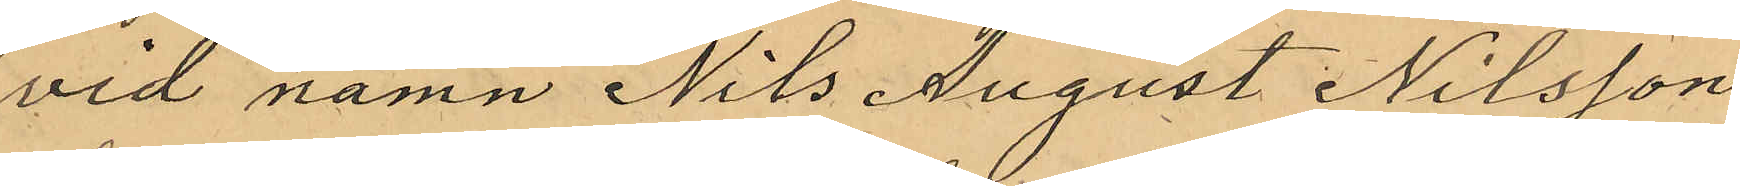vid namn Nils August Nilsson,
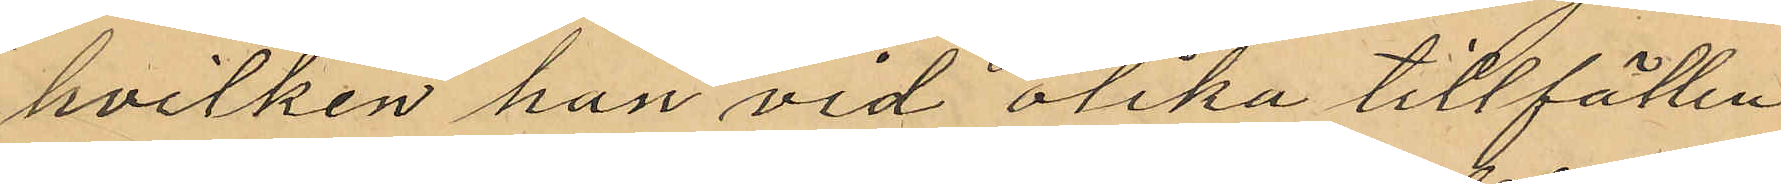hvilken han vid olika tillfällen
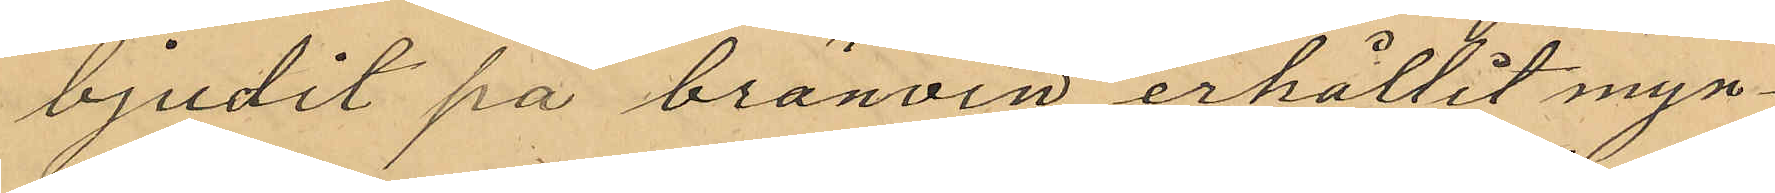bjudit på bränvin erhållit myn¬
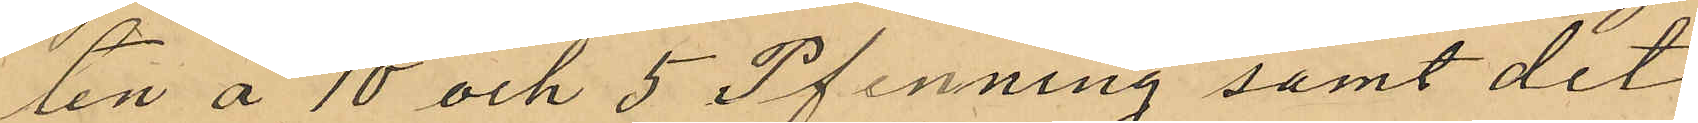ten å 10 och 5 Pfenning samt det
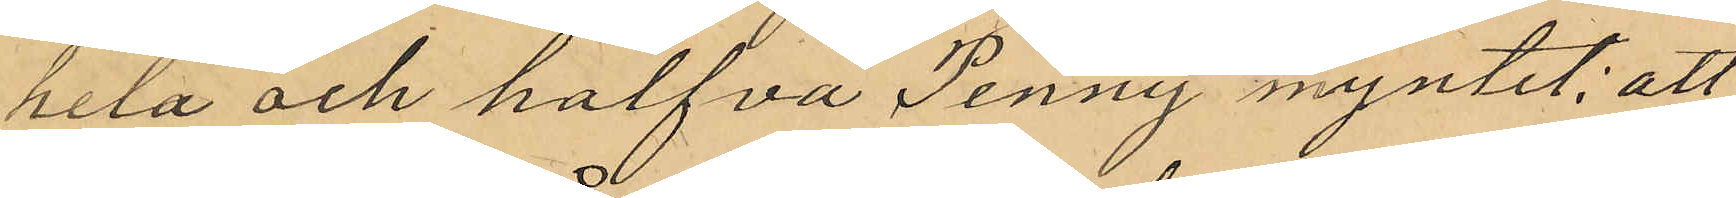hela och halfva Penny myntet; att
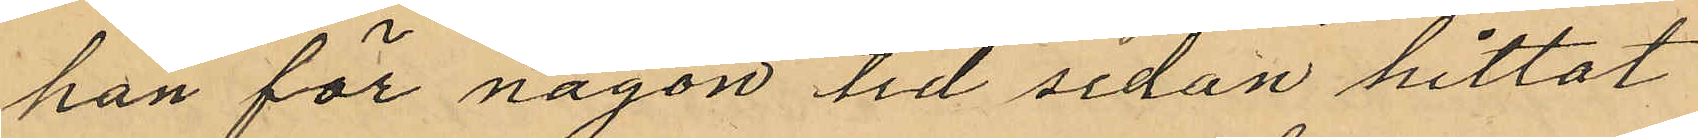han för någon tid sedan hittat
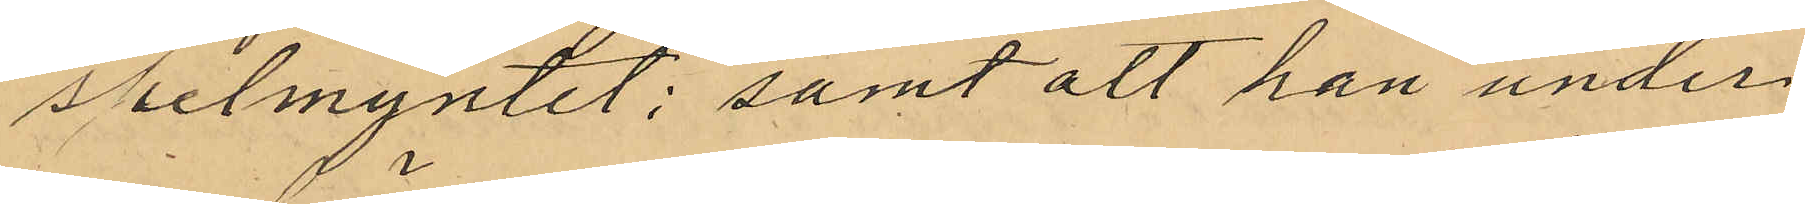spelmyntet; samt att han under
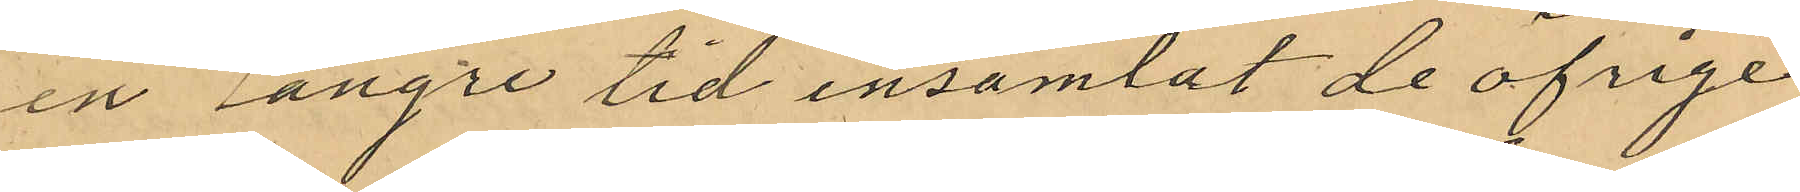en längre tid insamlat de öfrige
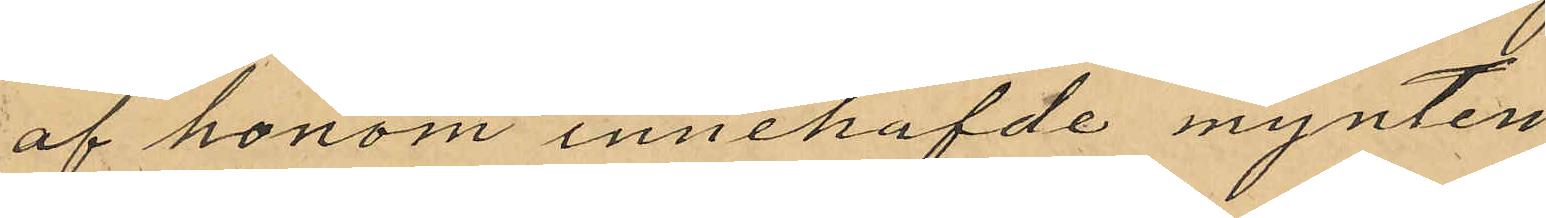af honom innehafde mynten
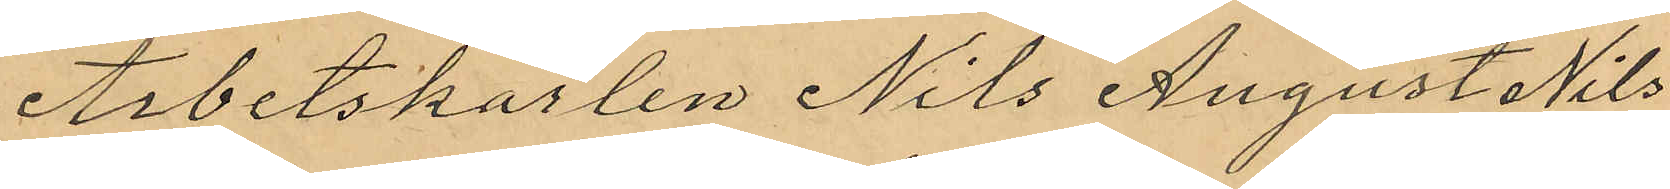Arbetskarlen Nils August Nils¬
